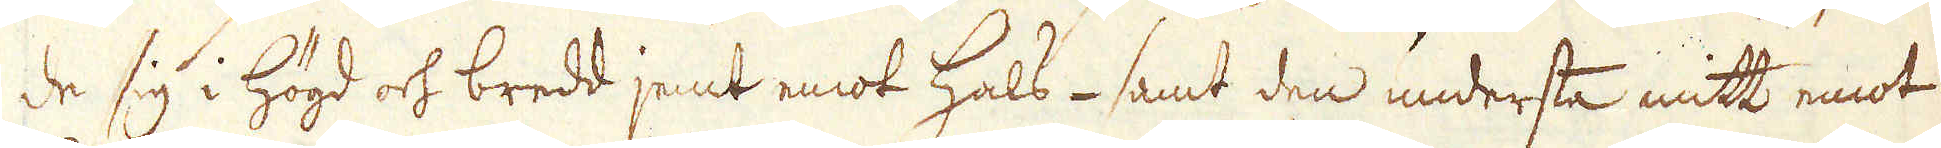de sig i högd och bredd jemt emot Hals- samt den understa mitt emot
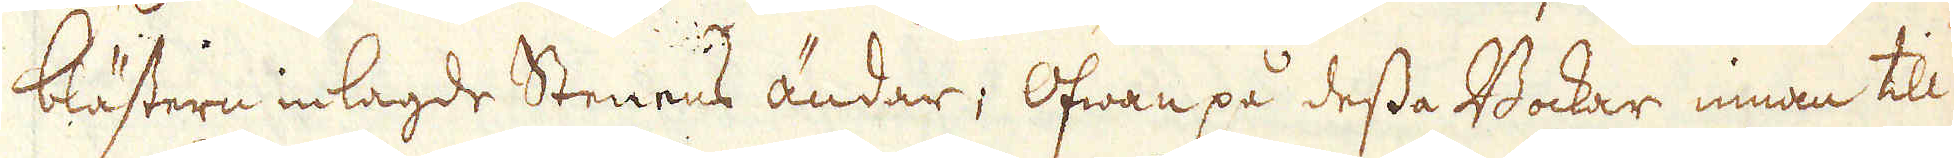blästern inlagde Stenens ändar; Ofwan på dessa Bockar innan till
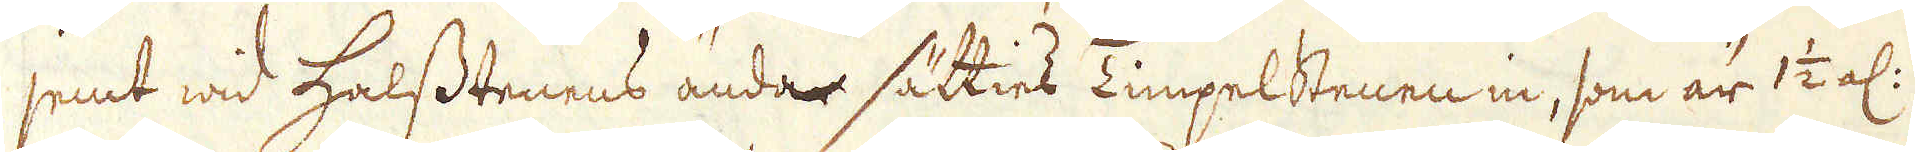jemt wid Halsstenens ändar sätties Limpelstenen in, som är 1 1/2 al:
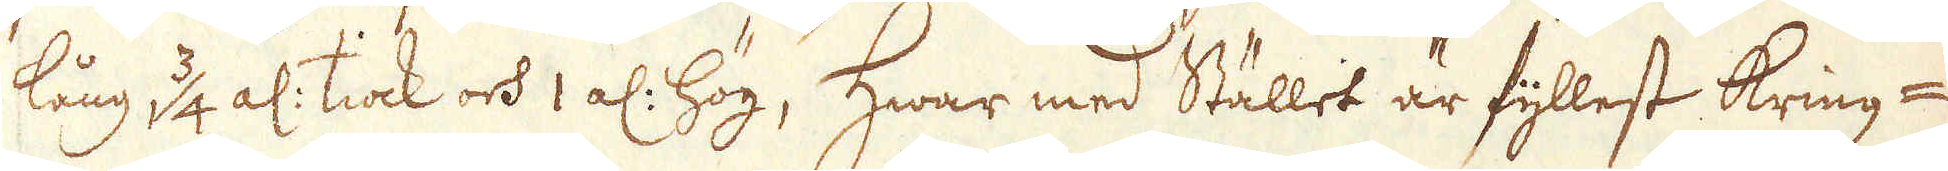lång, 1 3/4 al: tiock och 1 al: hög, Hwar med Stället är fyllest kring-
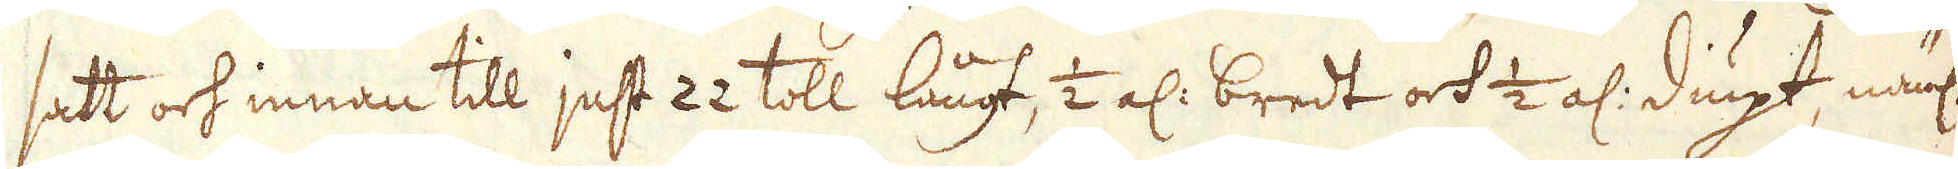satt och innan till just 22 toll långt, 1/2 al: bredt och 1/2 al: diupt, näml:
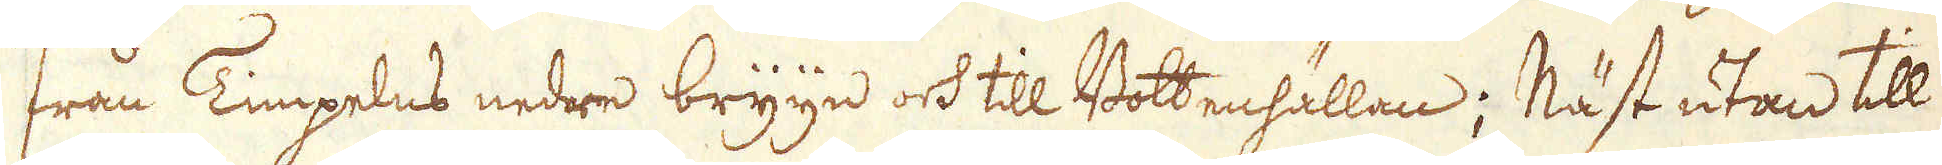från Timpelns nedre bryyn och till Bottenhällan; Näst utan till
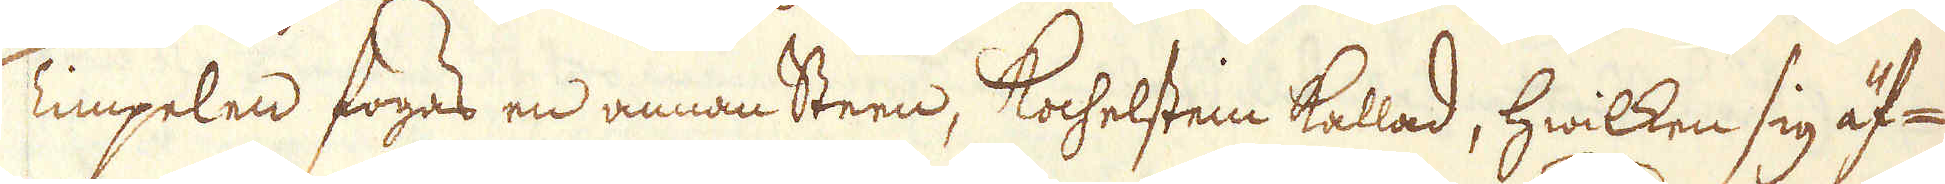Timpelen fogas en annan steen, Kochelsten kallad, hwilken sig äf-
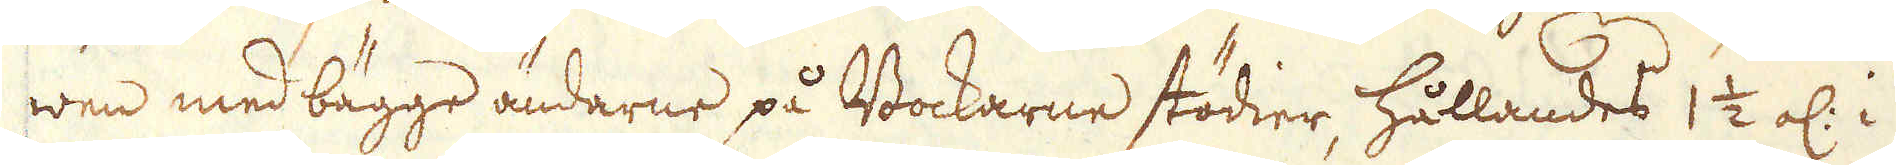wen med bägge ändarne på Bockarne stödier, hållandes 1 1/2 al: i
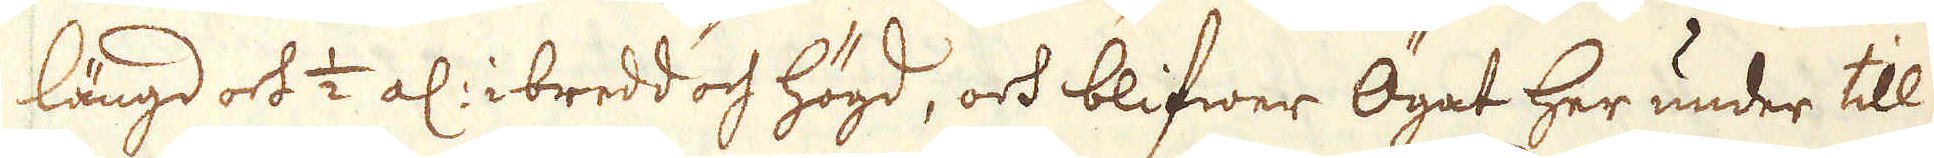längd och 1/2 al: i bredd och högd, och blifwer Ögat her under till
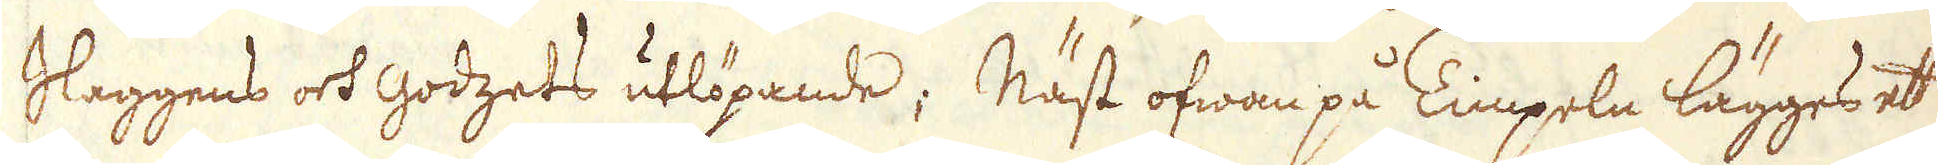Slaggens och godzets utlöpande; Näst ofwan på Timpeln lägges et
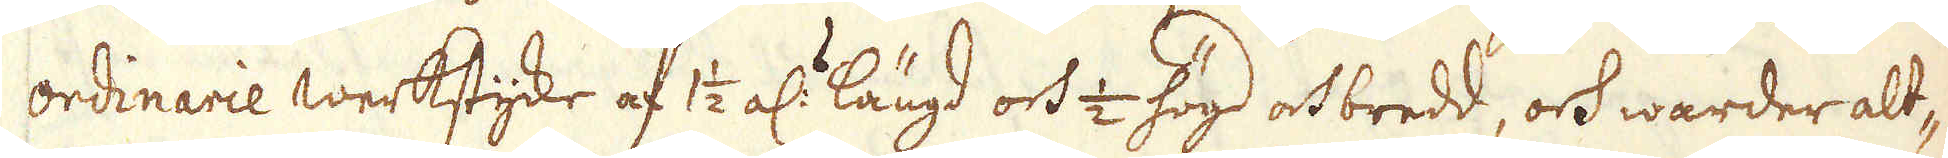ordinarie werkstycke af 1 1/2 al:r längd och 1/2 högd och bredd, och warder alt-
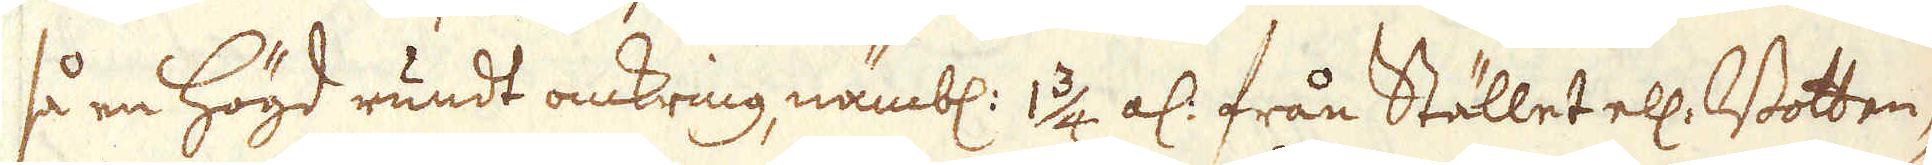så en högd rundt omkring, nämbl: 1 3/4 al: från Stället ell: Botten-
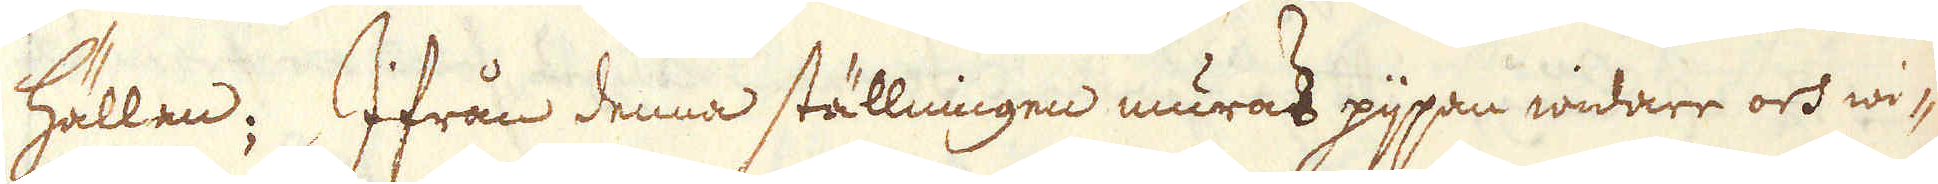hällan; Ifrån denna ställningen muras pjpan widare och wi-
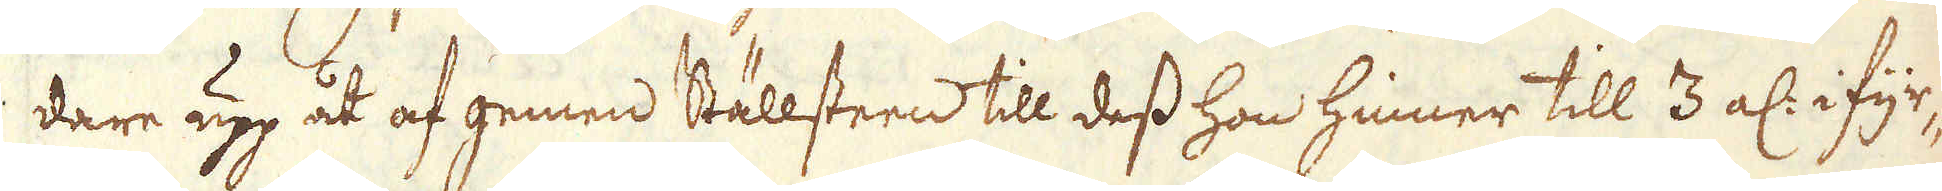dare upp åt af gemen Ställsteen till dess hon hinner till 3 al: i fyr-
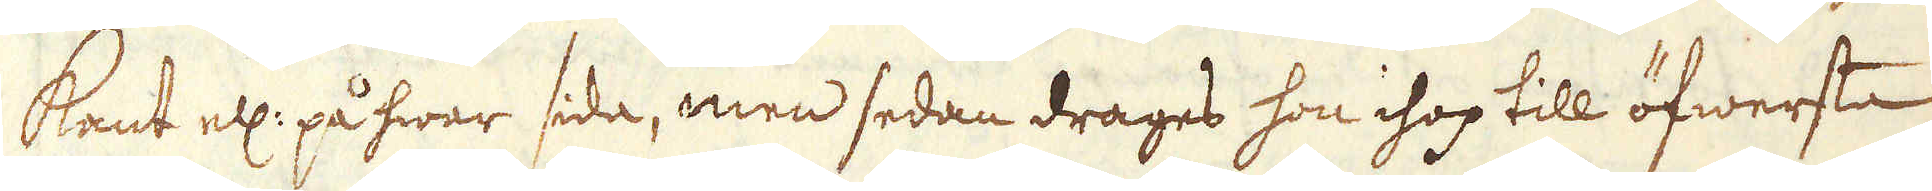kant ell: på hwar sida, men sedan drages hon ihop till öfwersta
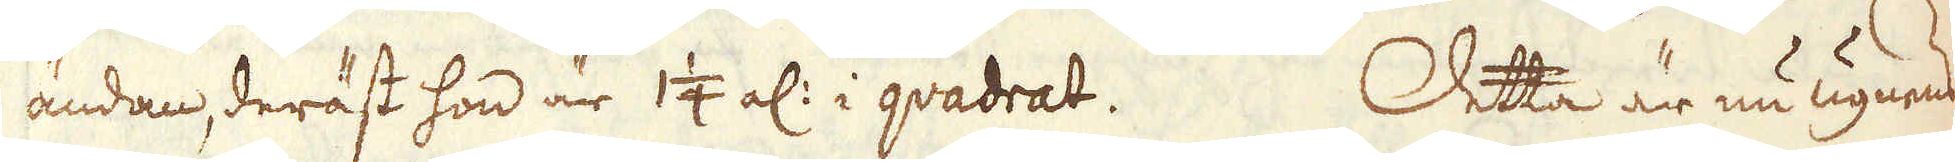ändan, deräst hon är 1 1/4 al: i quadrat. Detta är nu ugnens
